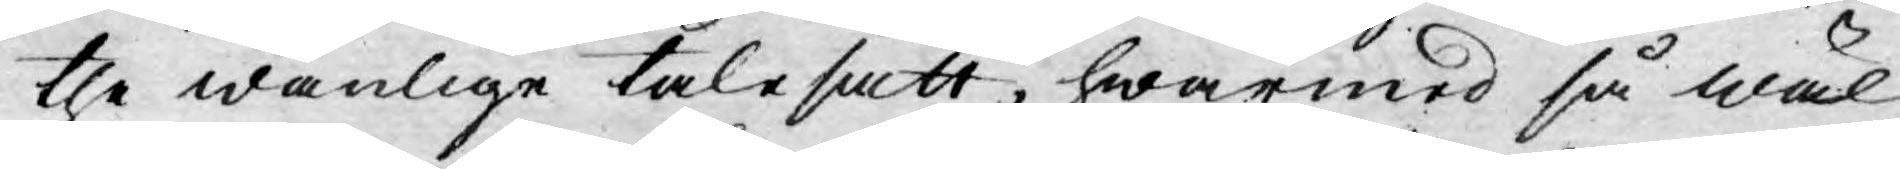the wanlige talesätt, hwarmed så wäl
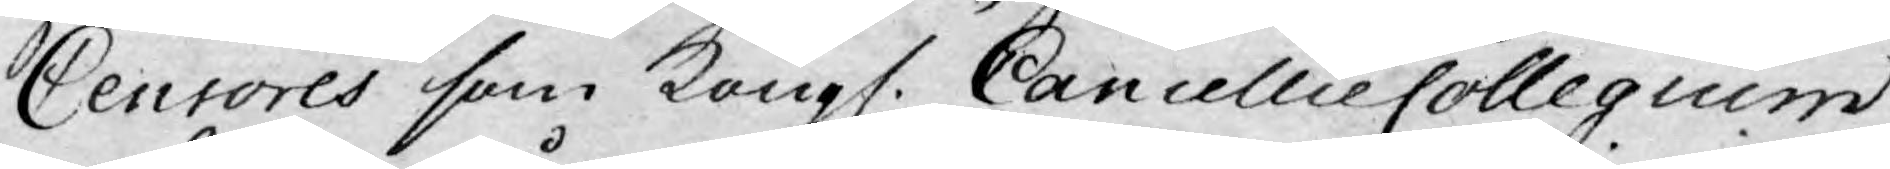Censores som Kongl. CancellieCollegium
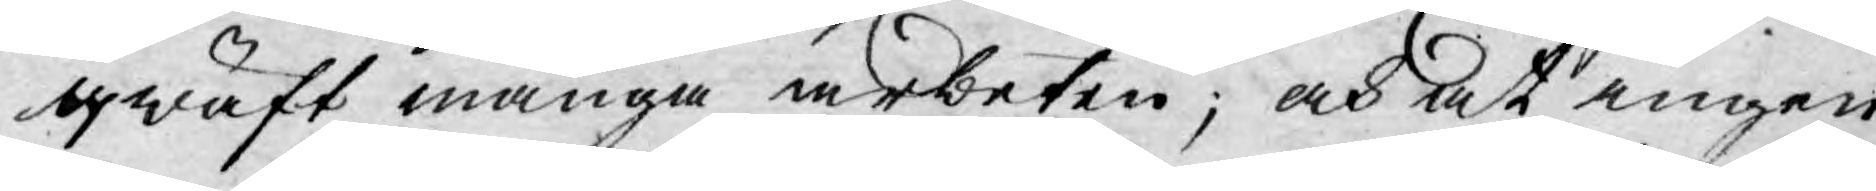qwäft många arbeten; och at ingen
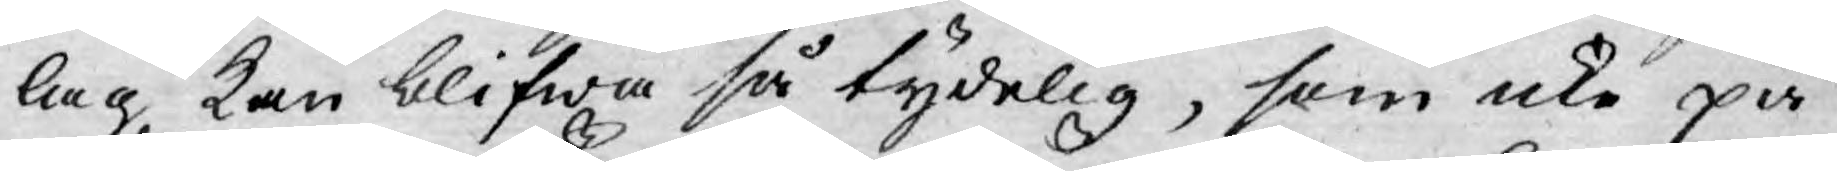lag kan blifwa så tydelig, som icke på
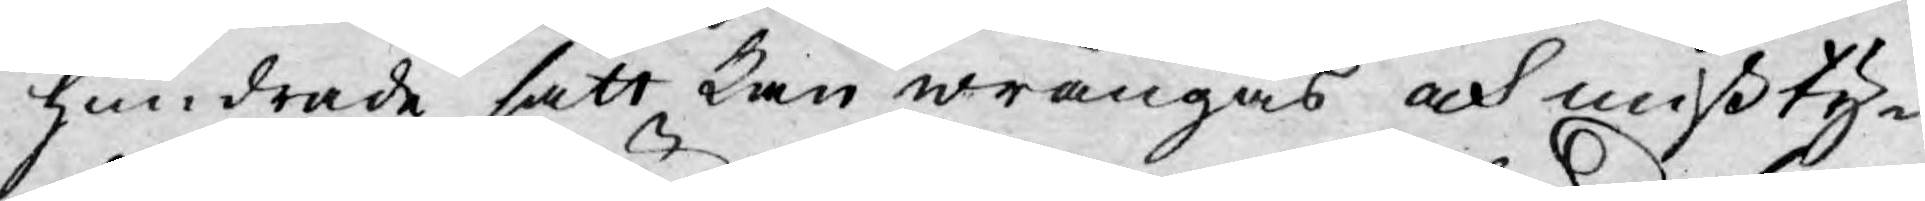hundrade sätt kan wrängas och mißty¬
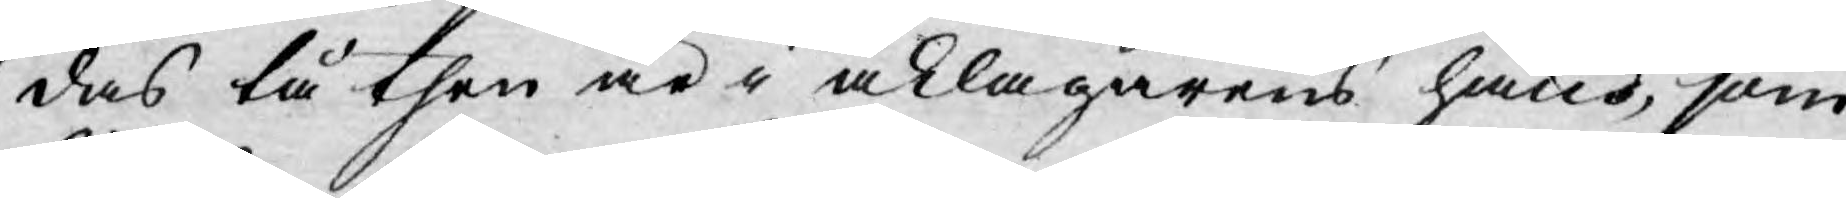das tå then är i åklagarens hand, som
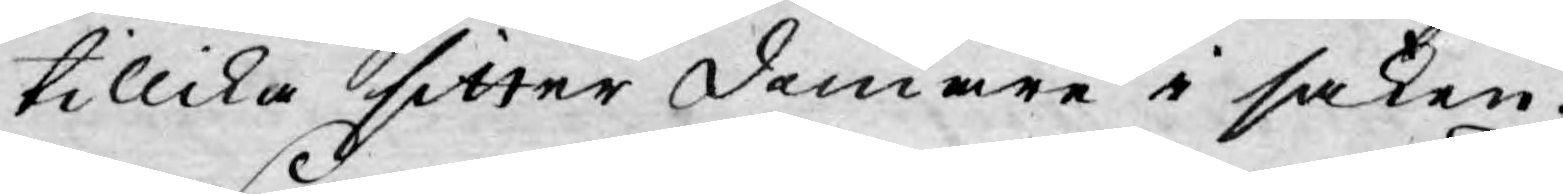tillika sitter domare i saken.
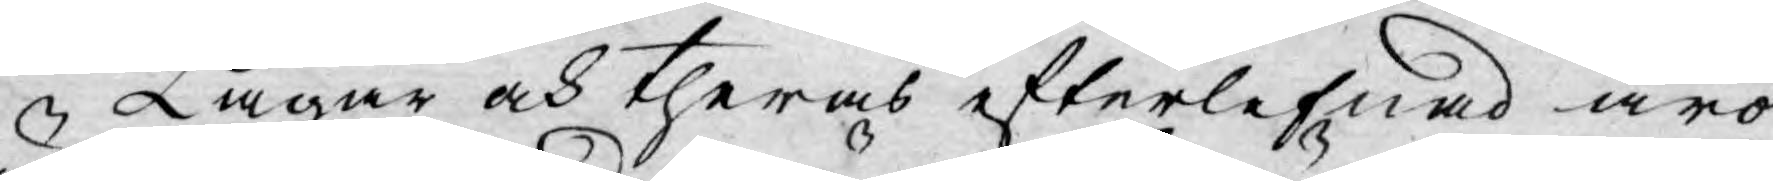Lagar och theras efterlefnad äro
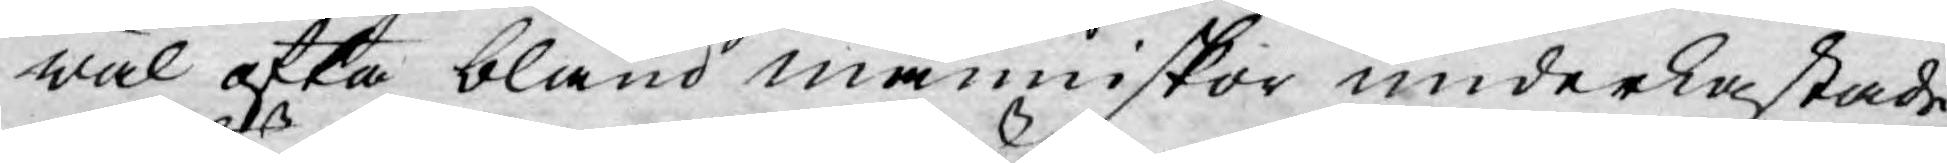wäl ofta bland människor underkastade
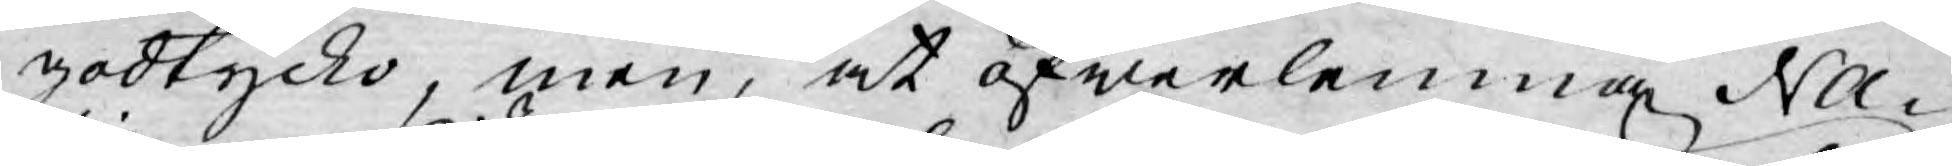godtycko, men, at öfwerlemna Na¬
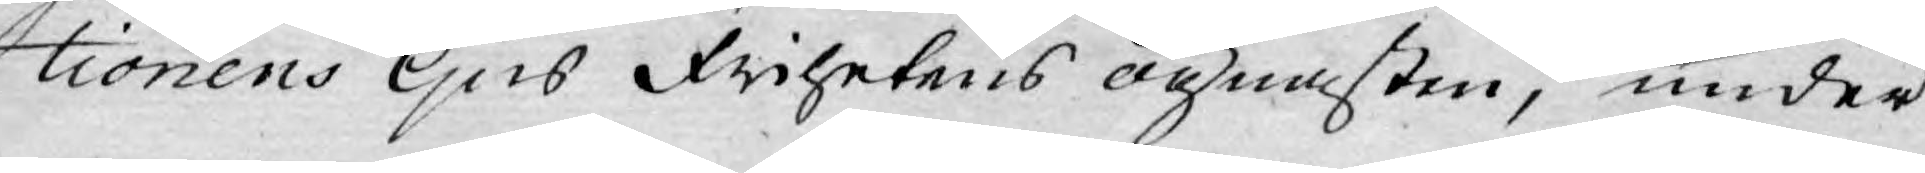tionens ljus Frihetens ögnasten, under
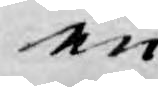en
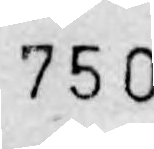750
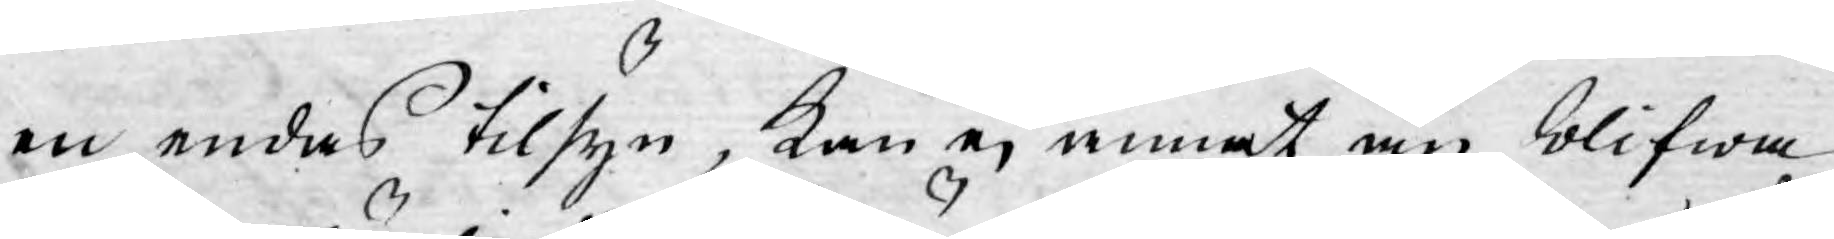en endas tilsyn, kan ej annat än blifwa
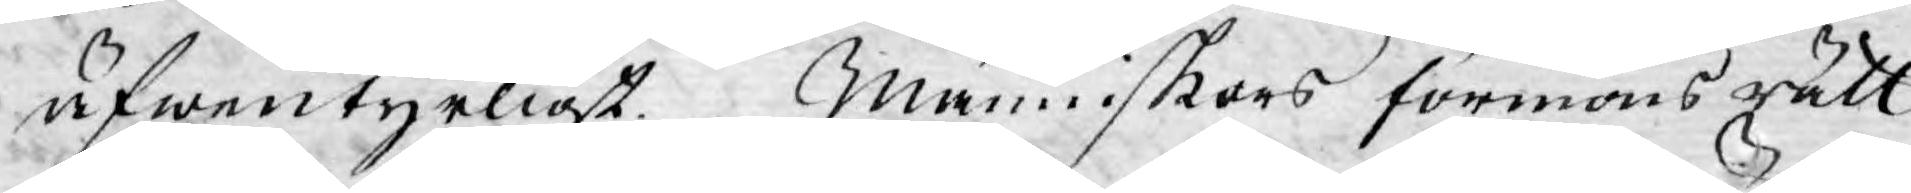äfwentyrligt. Människors förmons rätt
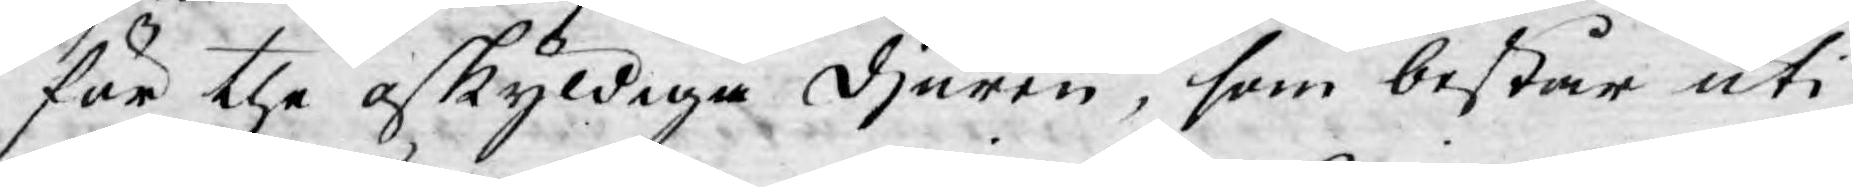för the oskyldiga djuren, som består uti
